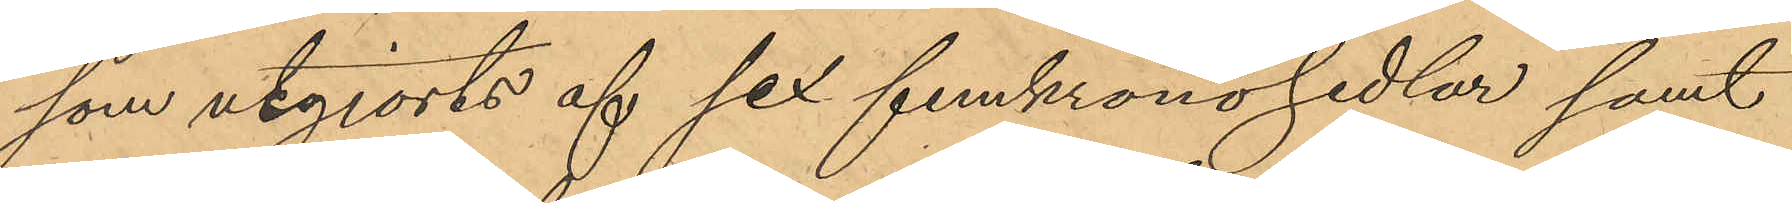som utgjorts af sex femkronosedlar samt
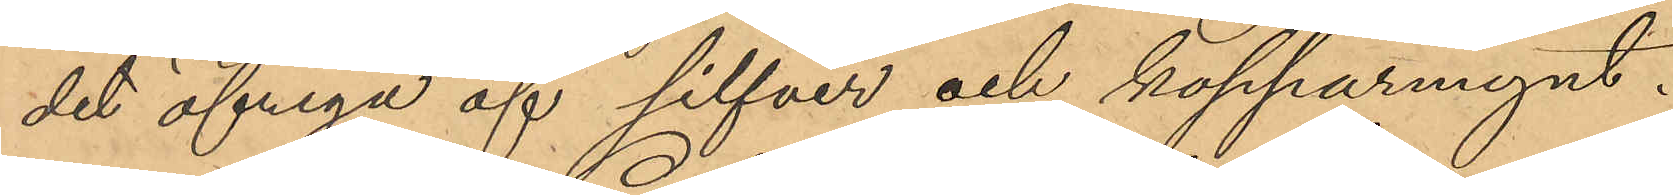det öfriga af silfver och kopparmynt.
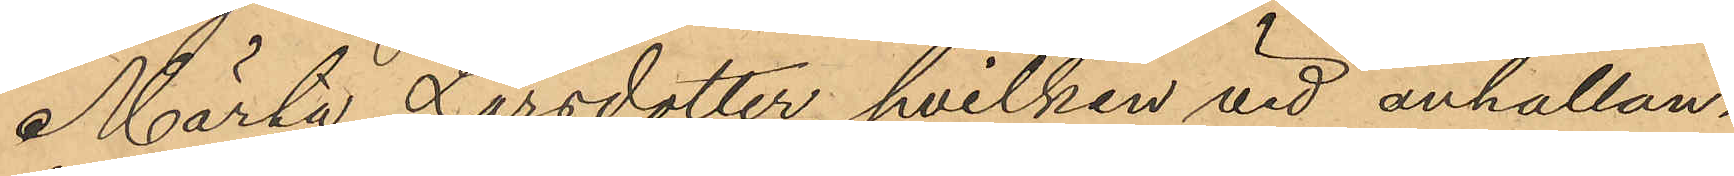Märta Larsdotter, hvilken vid anhållan¬
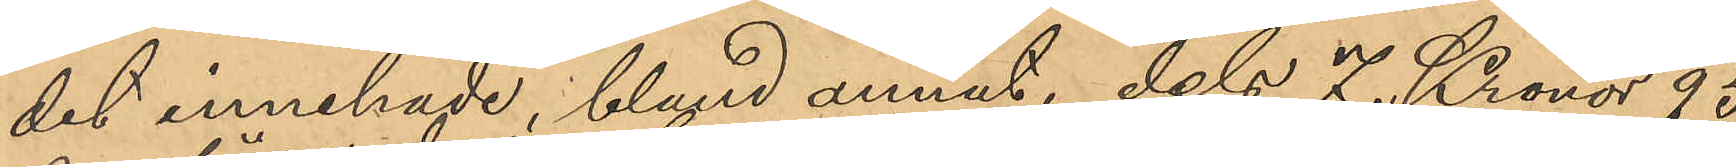det innehade, bland annat, dels 7 Kronor 95
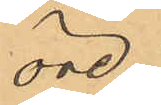öre
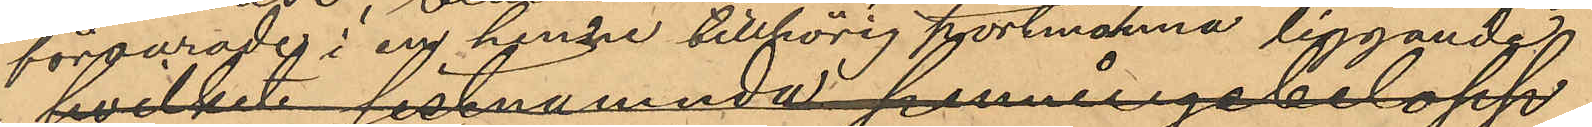förvarade i en henne tillhörig portmonnä liggande
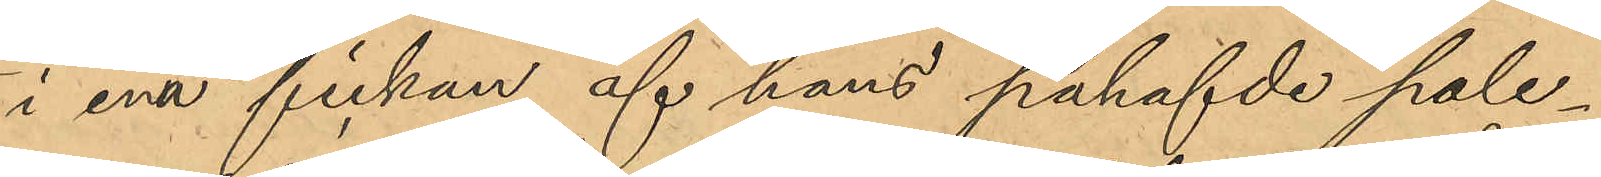i ena fickan af hans påhafvde pale¬
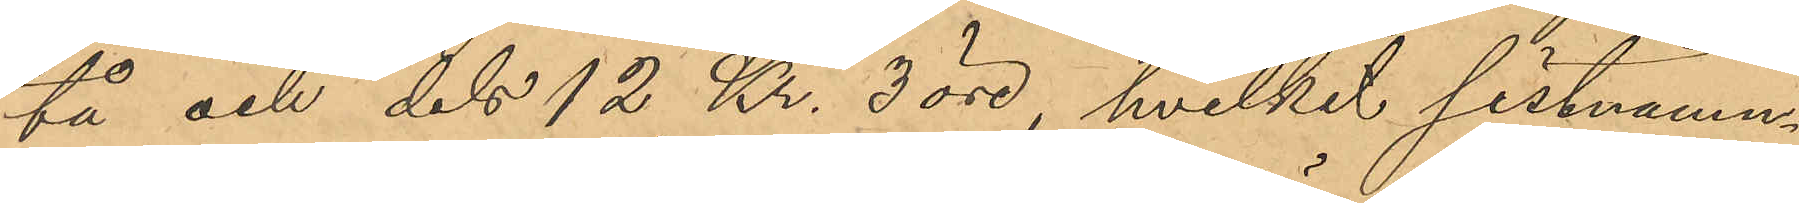tå och dels 12 Kr. 3 öre, hvilket sistnämn¬
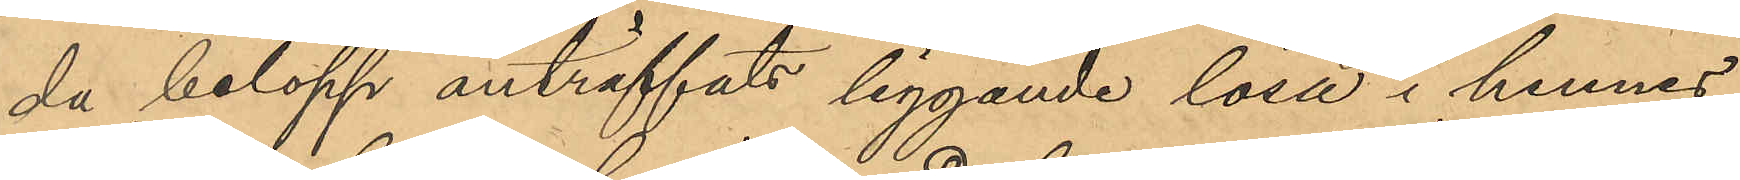da belopp anträffats liggande lösa i hennes
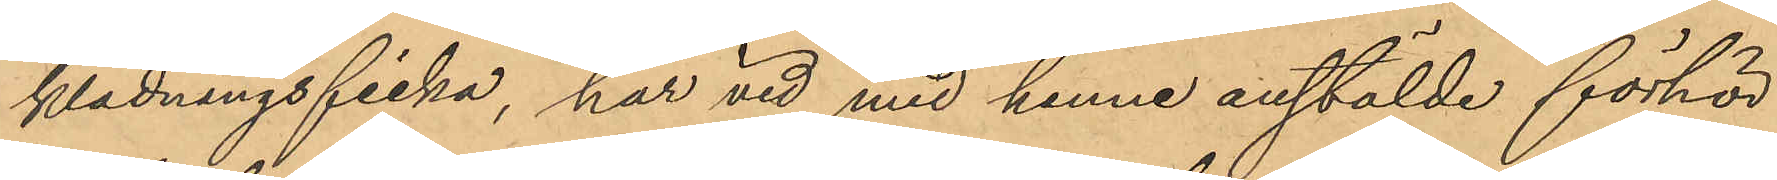klädningsficka, har vid med henne anstälde förhör
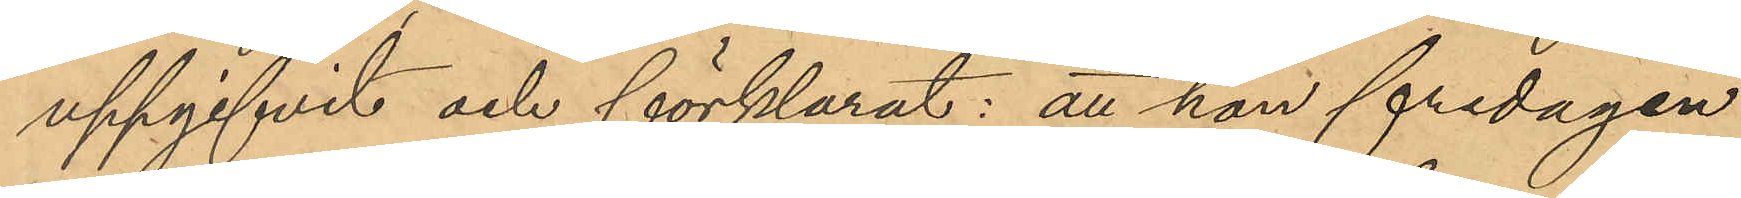uppgifvit och förklarat: att hon fredagen
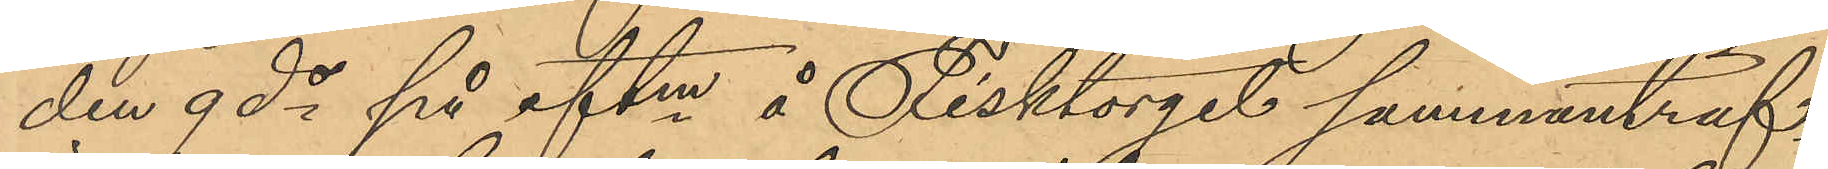den 9 ds på eftm å Fisktorget sammanträf¬
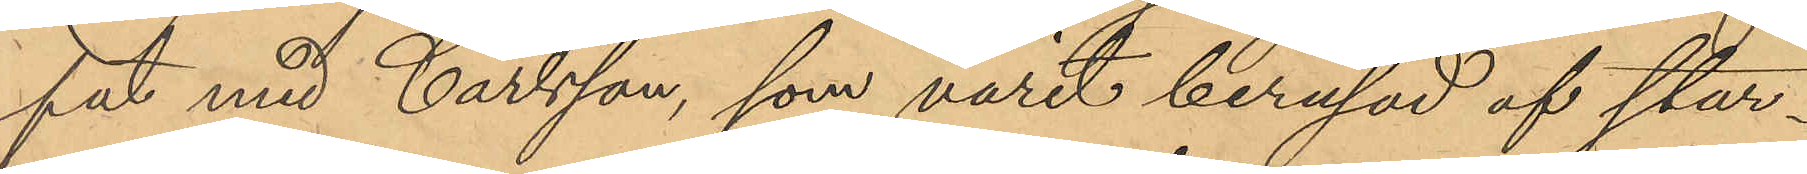fat med Carlsson, som varit berusad af star¬
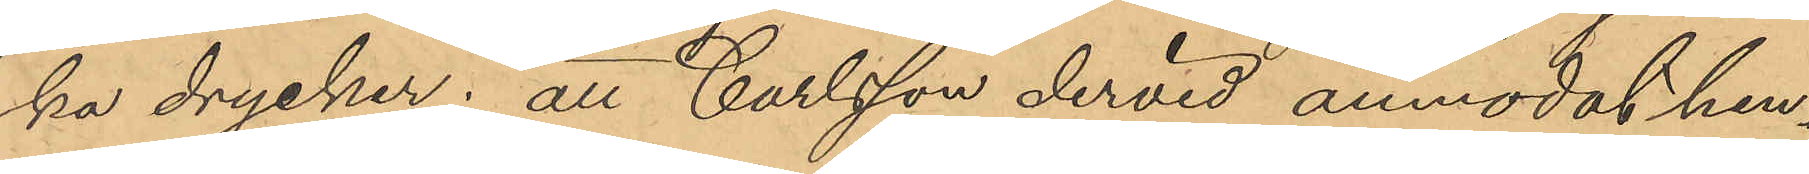ka drycker; att Carlsson dervid anmodat hen¬
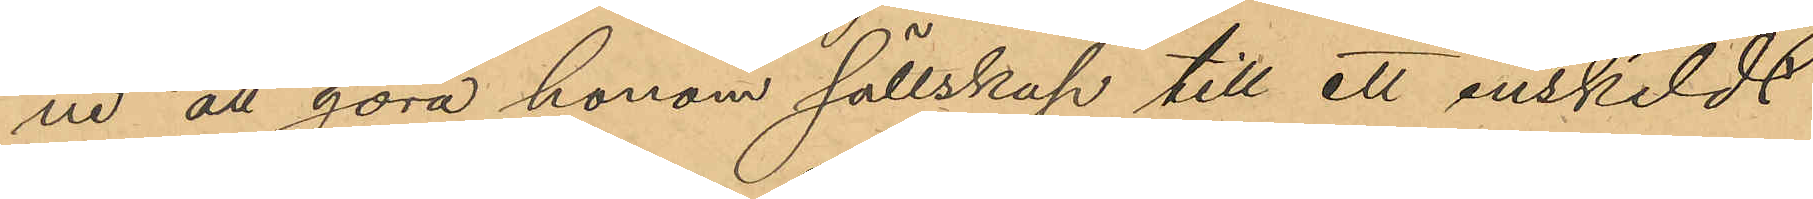ne att göra honom sällskap till ett enskildt
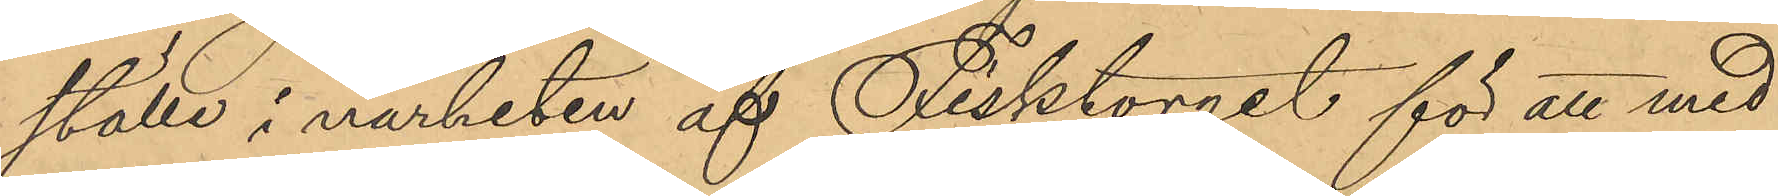ställe i närheten af Fisktorget för att med
